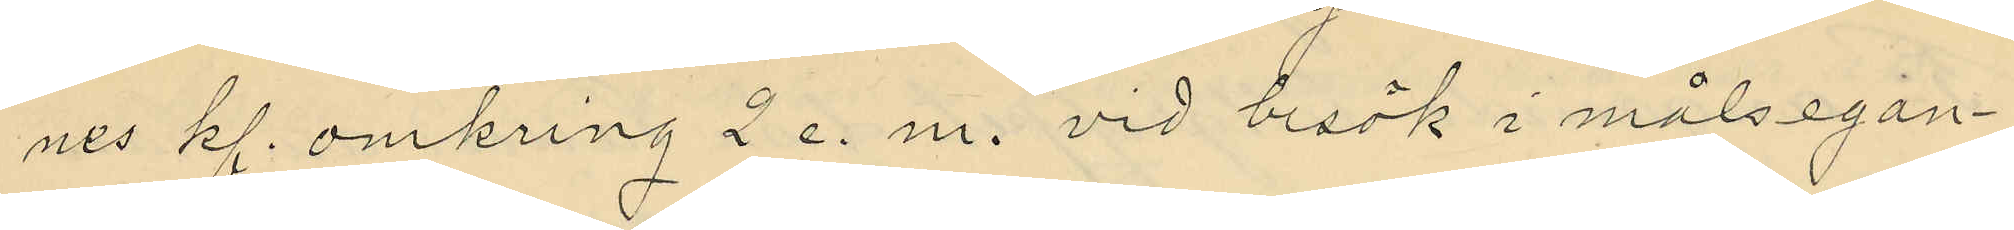nes kl. omkring 2 e. m. vid besök i målsegan¬
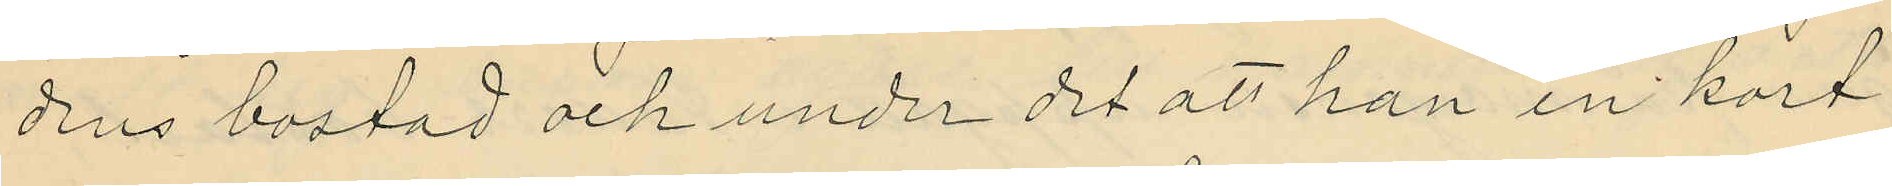dens bostad och under det att han en kort
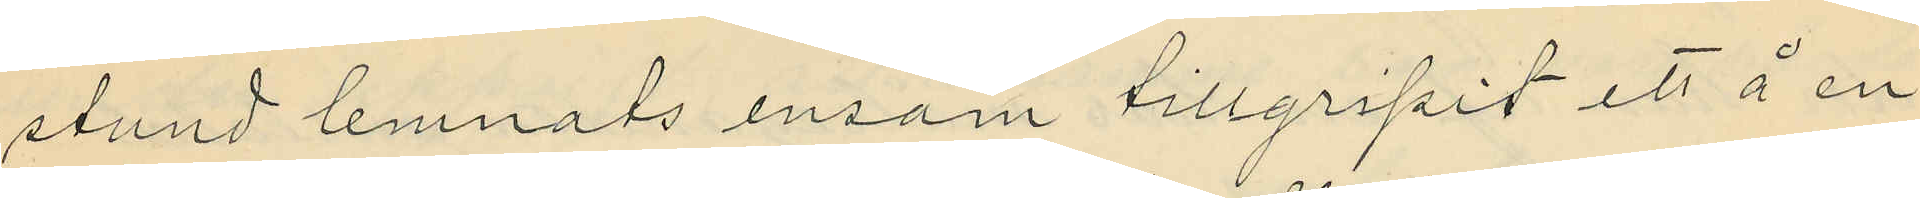stund lemnats ensam tillgripit ett å en
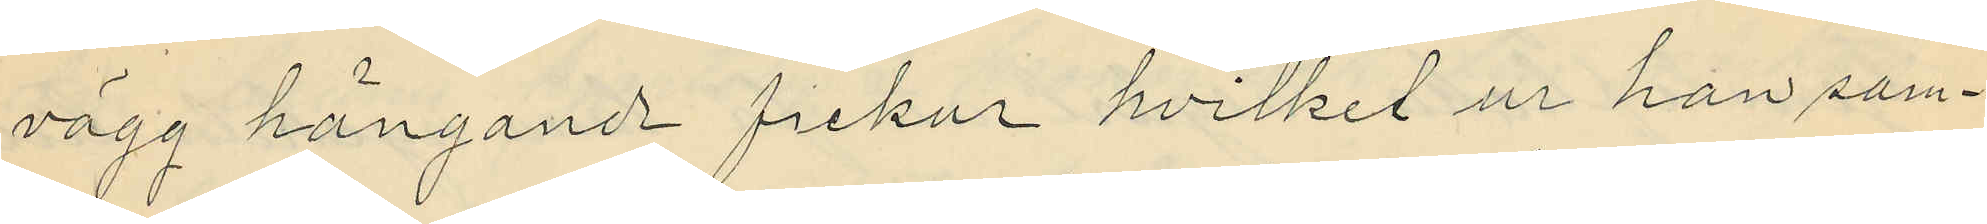vägg hängande fickur hvilket ur han sam¬
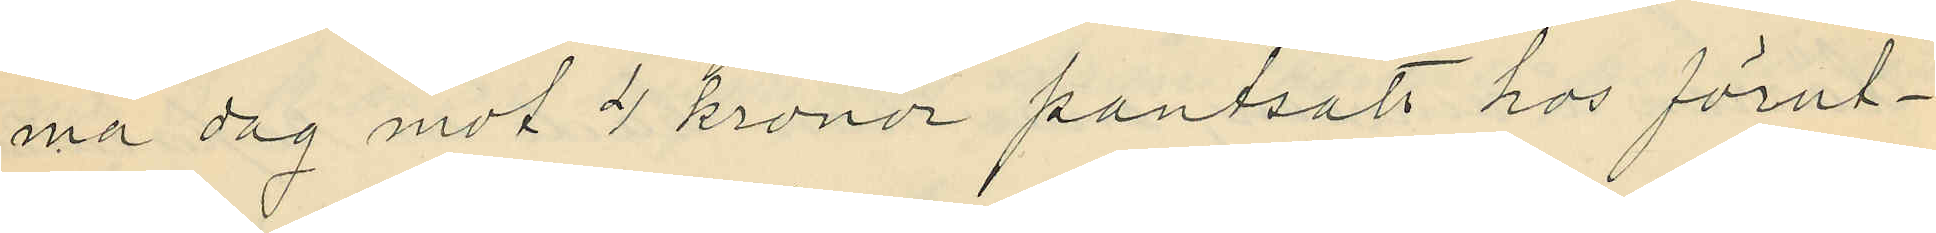ma dag mot 4 kronor pantsatt hos förut¬
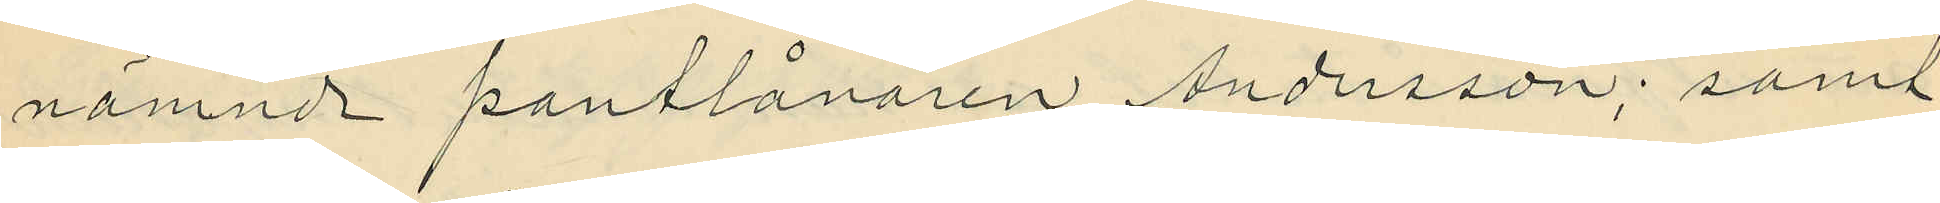nämnde pantlånaren Andersson; samt
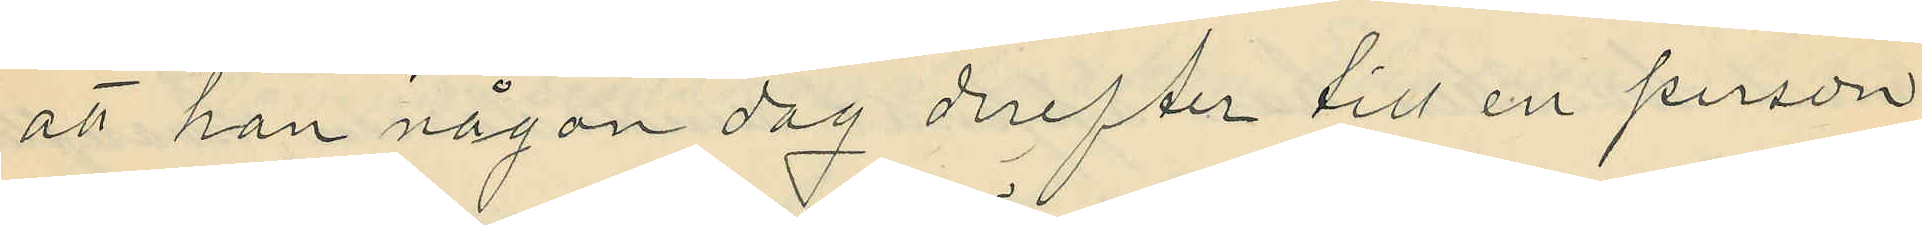att han någon dag derefter till en person
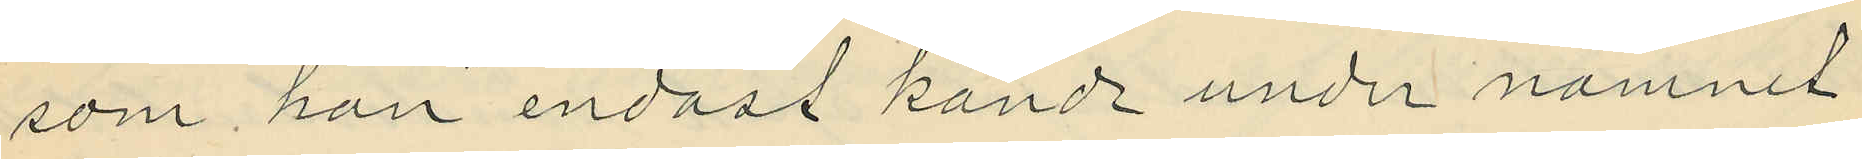som han endast kände under namnet
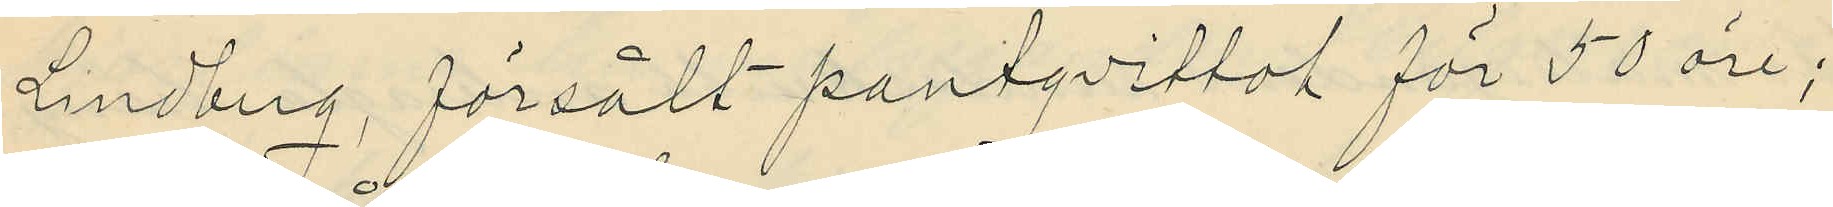Lindberg, försålt pantqvittot för 50 öre;
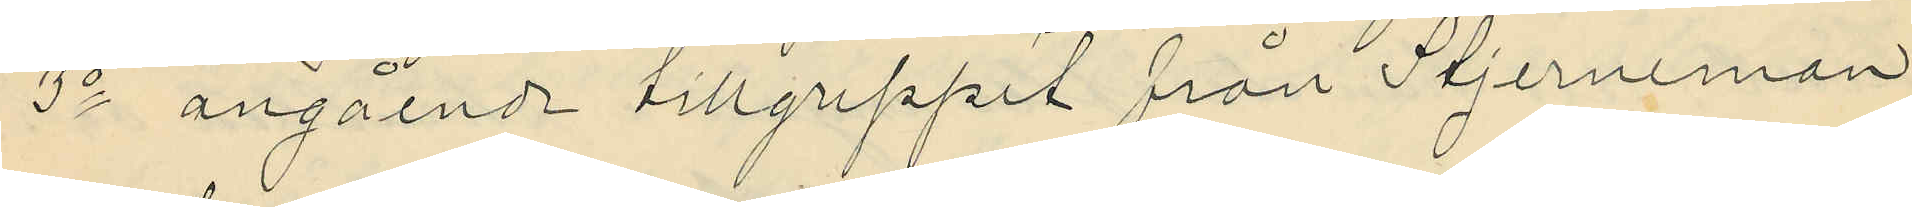3o angående tillgreppet från Stjerneman,
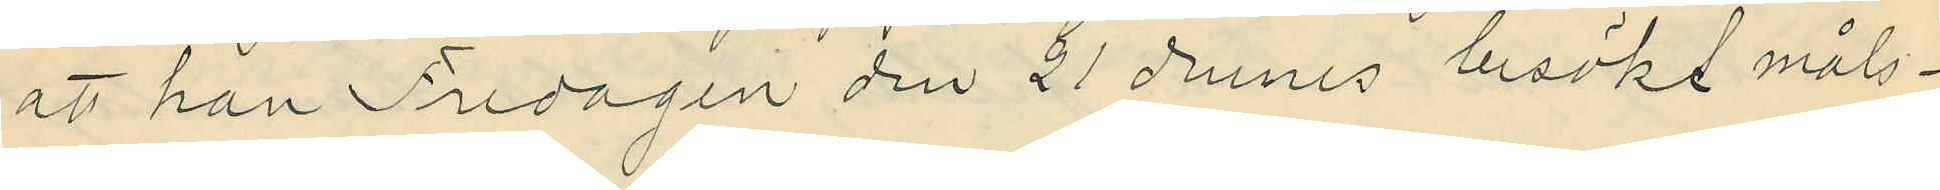att han Fredagen den 21 dennes besökt måls¬
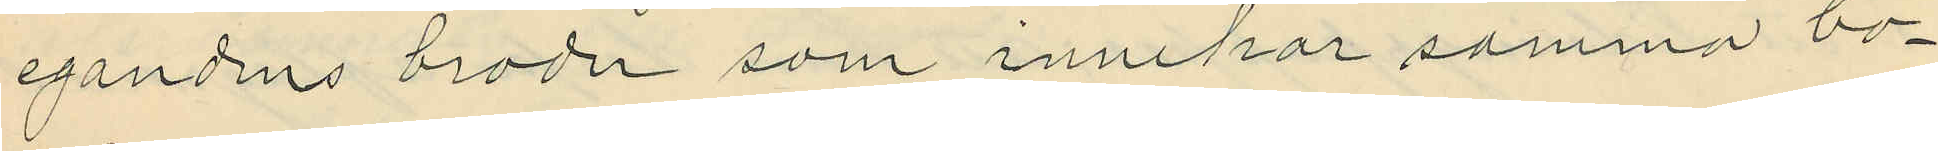egandens broder som innehar samma bo¬
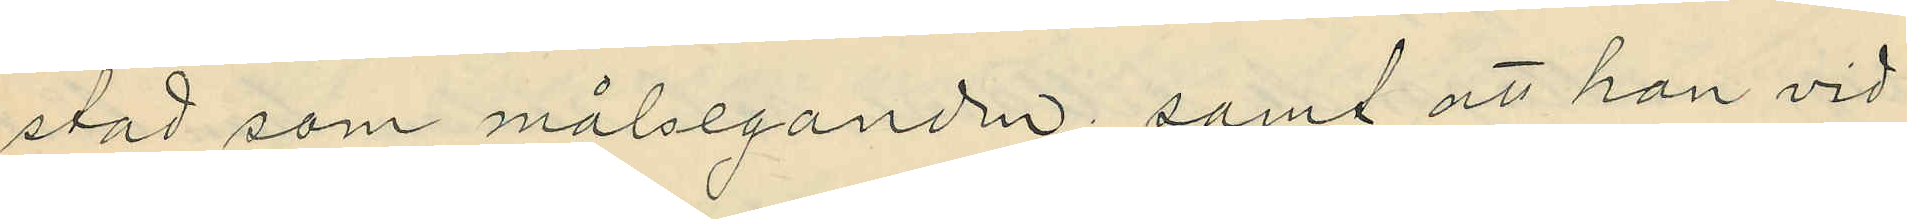stad som målseganden; samt att han vid
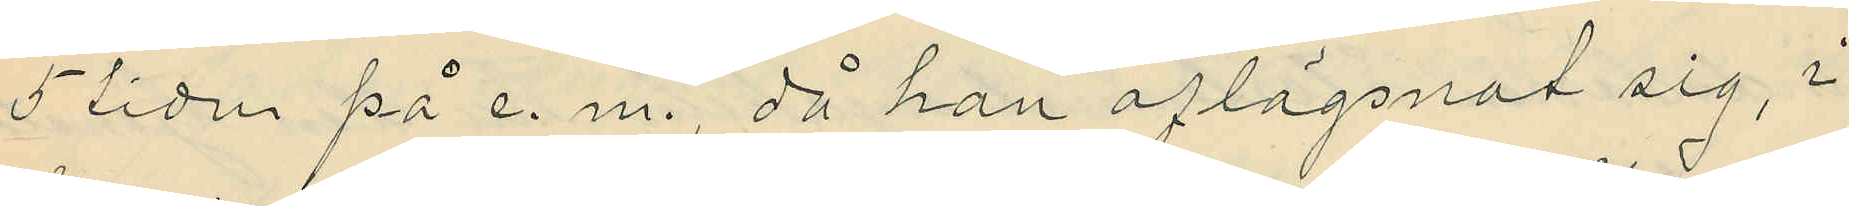5 tiden på e. m., då han aflägsnat sig, i
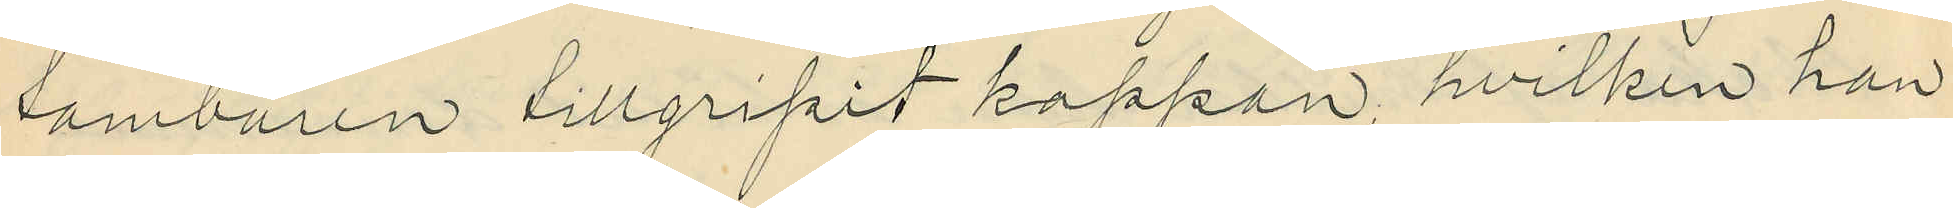tamburen tillgripit kappan, hvilken han
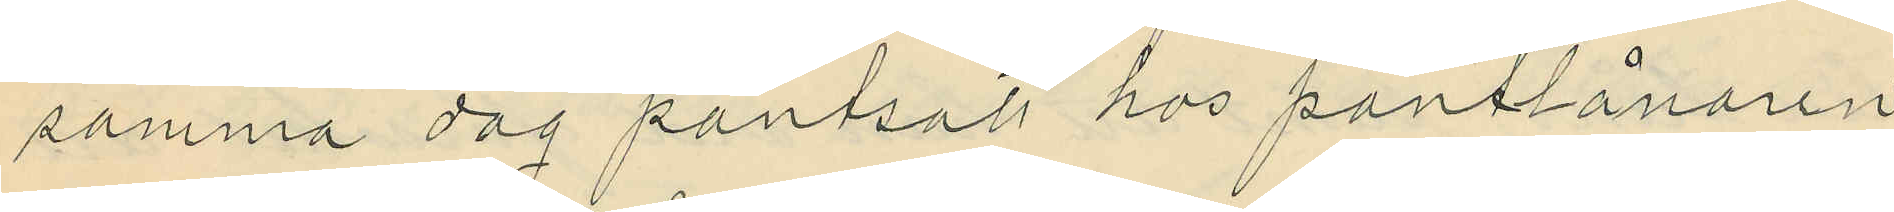samma dag pantsatt hos pantlånaren
